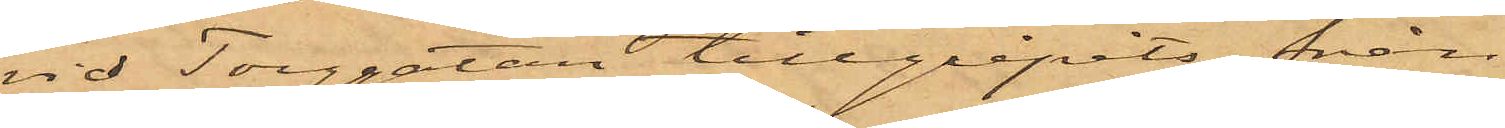vid Torggatan tillgripits från
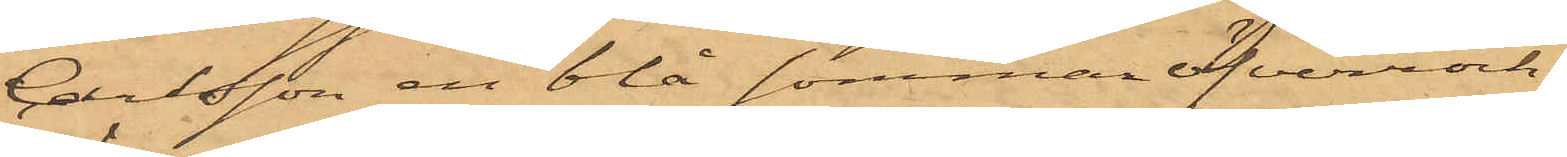Carlsson en blå sommaröfverrock,
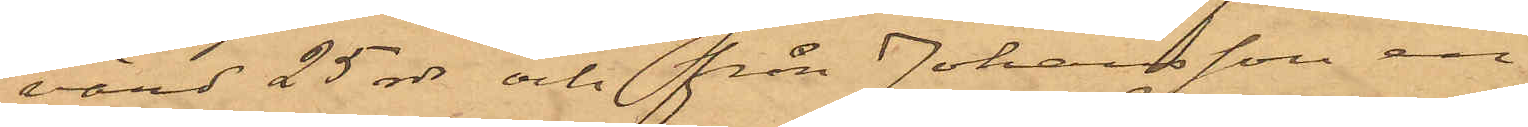värd 25 rdr och från Johansson en
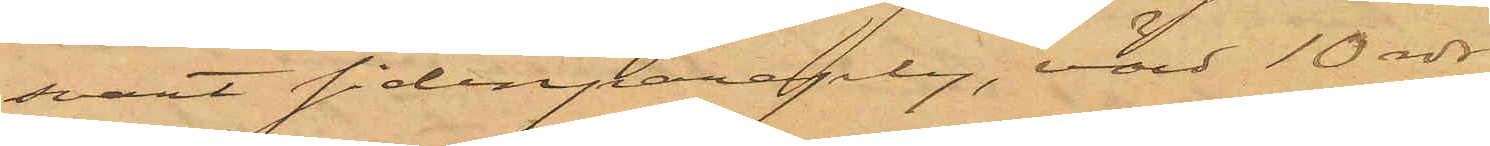svart sidenparaply, värd 10 rdr.
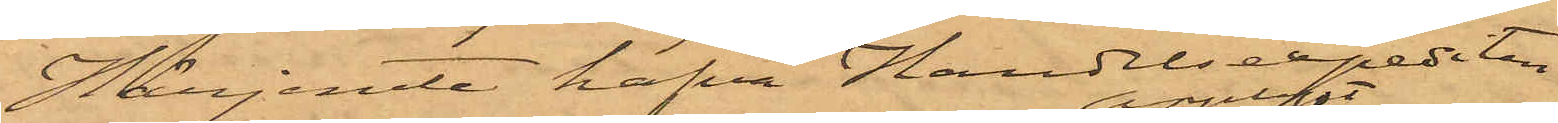Härjemte hafva Handelsexpediten
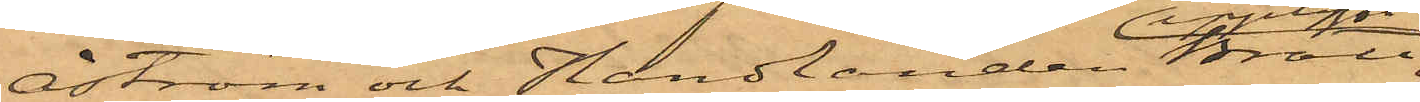Åhström och Handlanden Bratt 
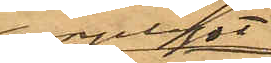uppgett
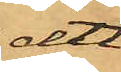att
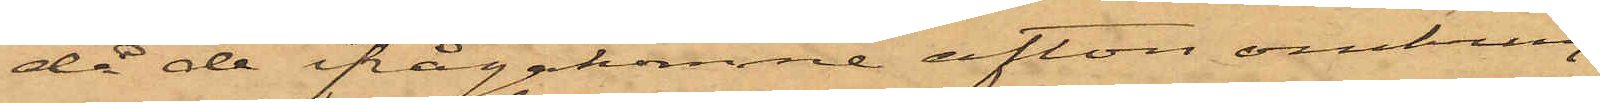då de ifrågakomne afton omkring
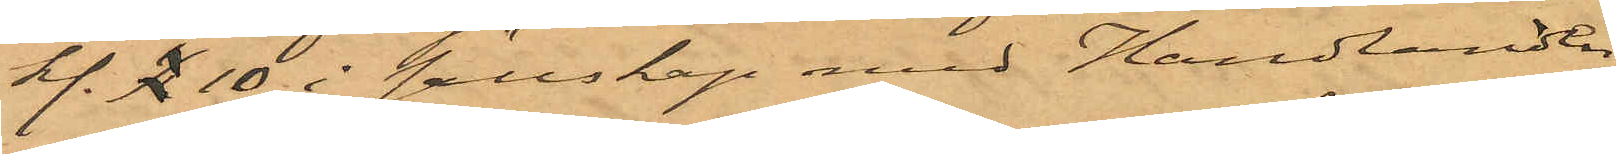kl. 10 i sällskap med Handlanden
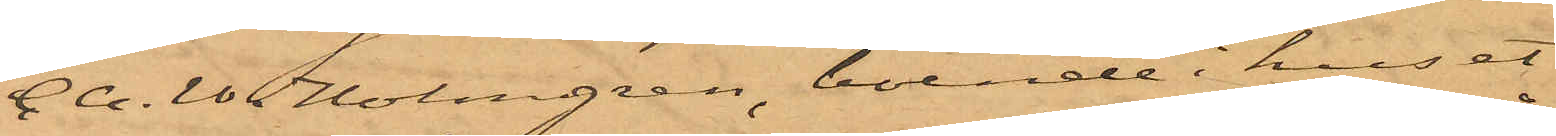C.A.W. Holmgren, boende i huset
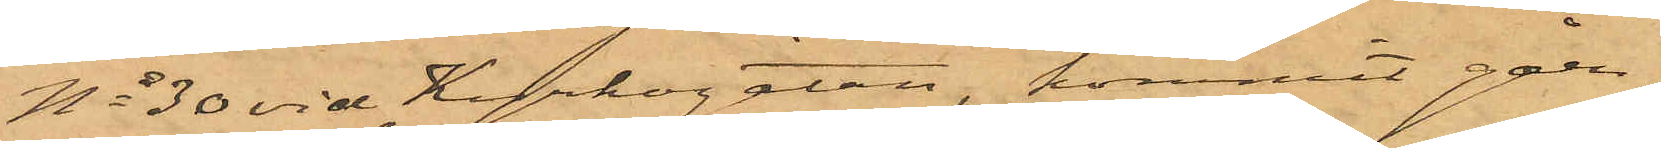No 30 vid Kyrkogatan, kommit gåen¬
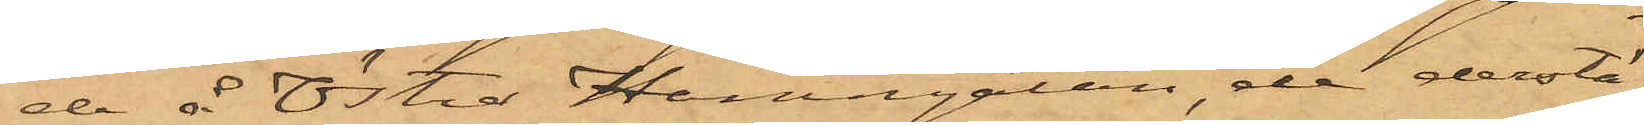de å Östra Hamngatan, de derstä¬
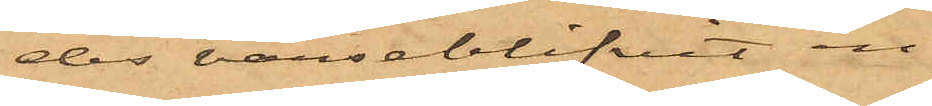des varseblifvit en
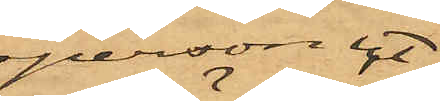person ut¬
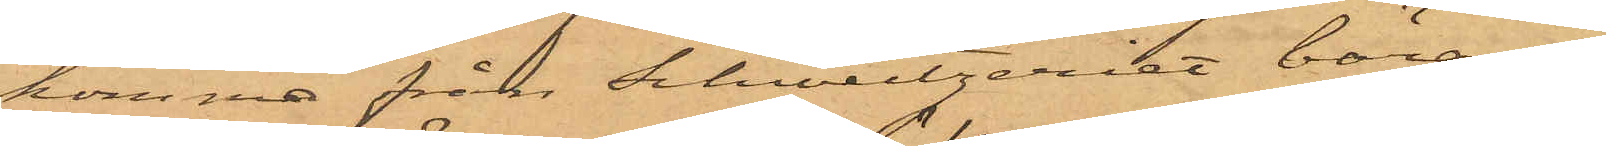komma från Schweizeriet bäran¬
